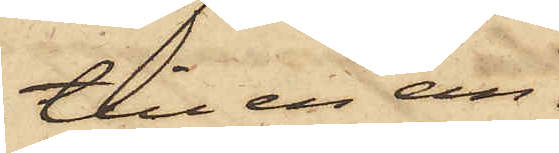till en an¬
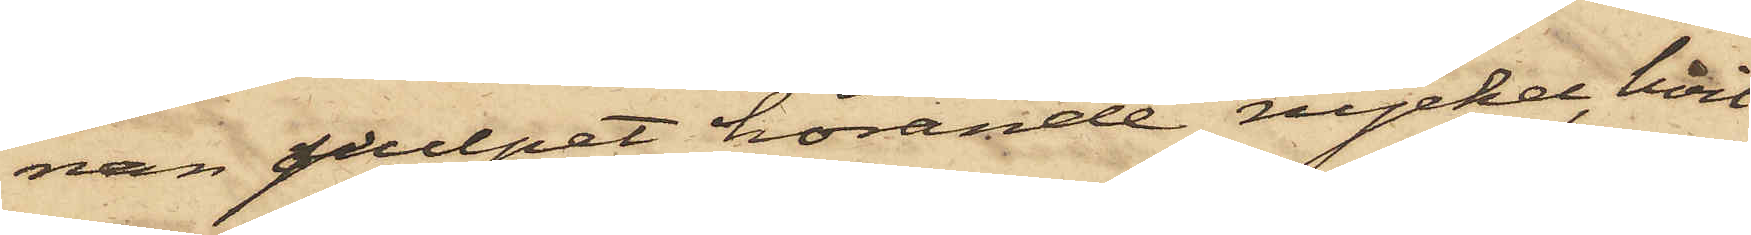nan pulpet hörande nyckel, hvil¬
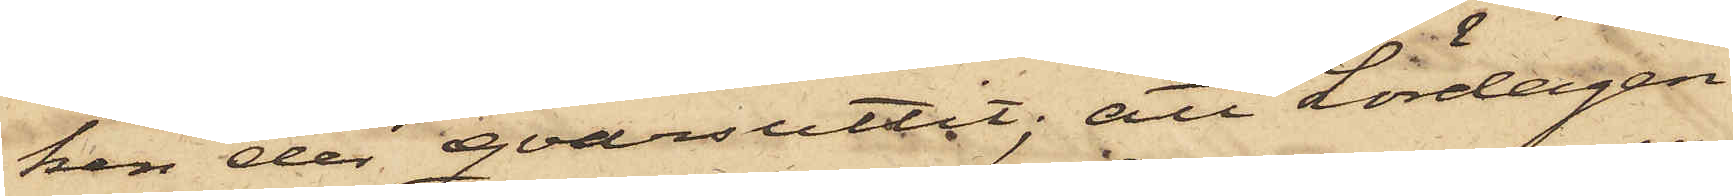ken der qvarsuttit; att Lördagen
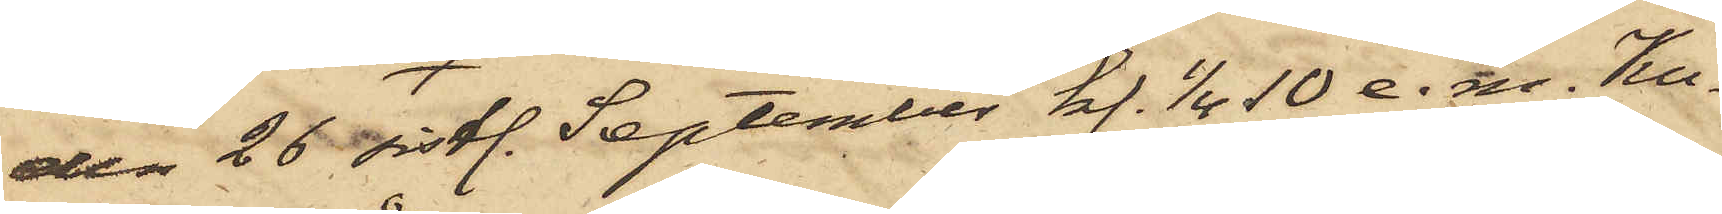den 26 sistl. September kl. 1/4 10 e. m. Ku¬
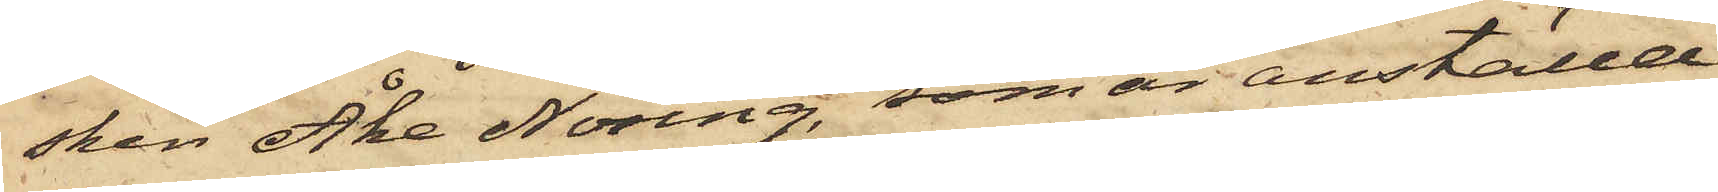sken Åke Noring, som är anställd
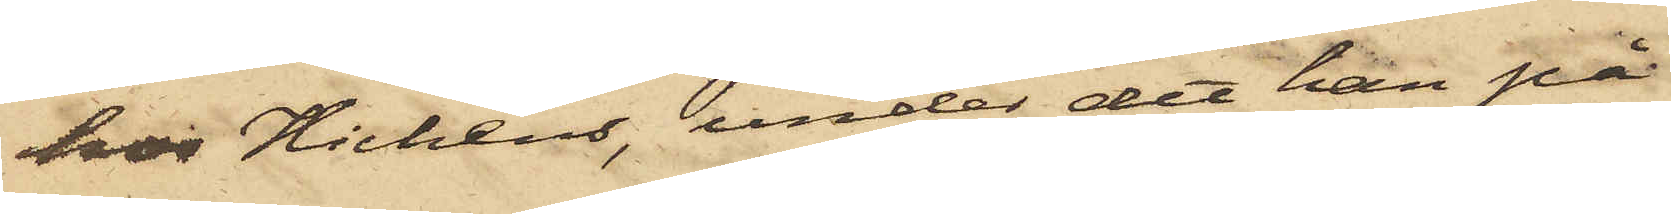hos Hichens, under det han på
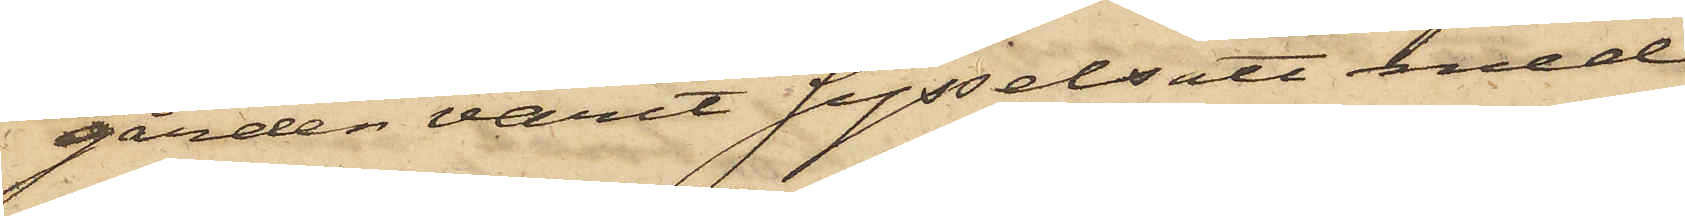gården varit sysselsatt med
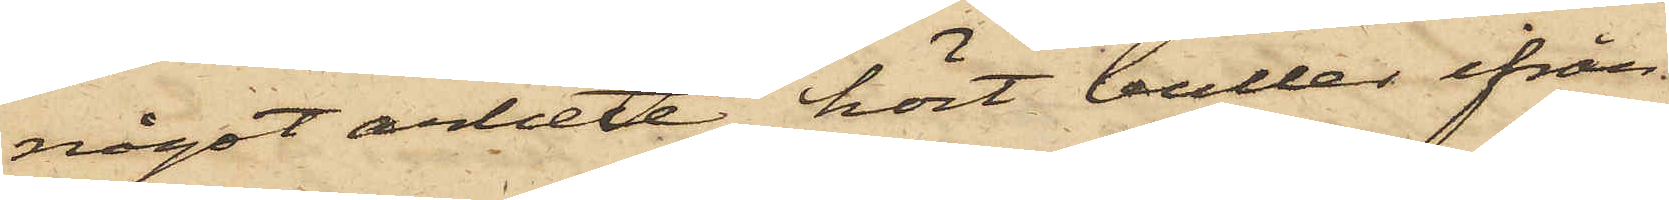något arbete, hört buller ifrån
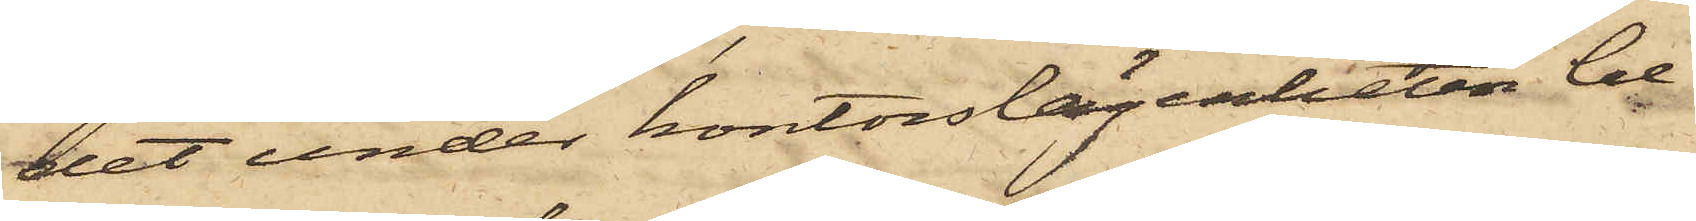det under kontorslägenheten be¬
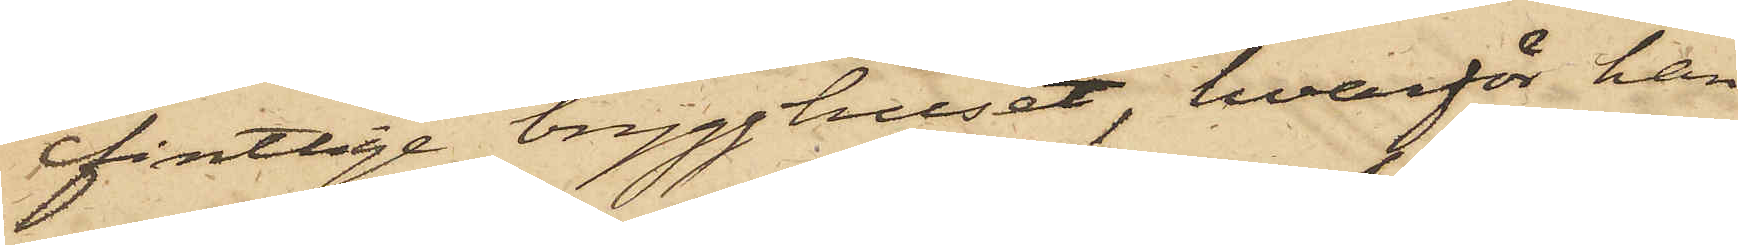fintlige brygghuset, hvarför han
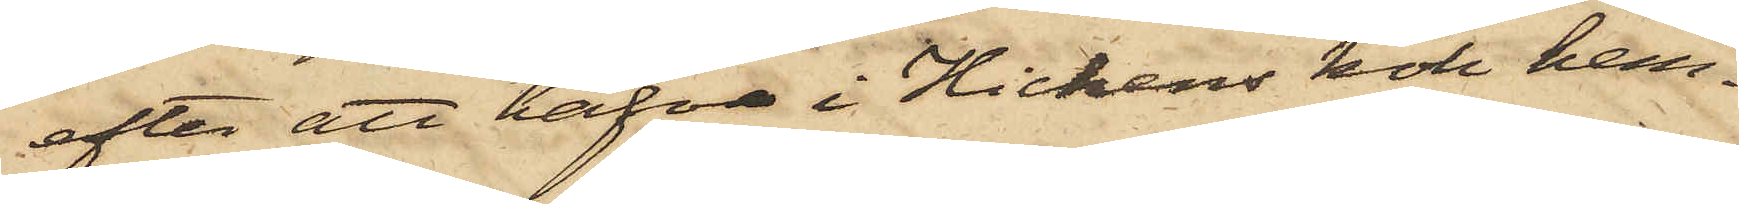efter att hafva i Hichens kök hem¬
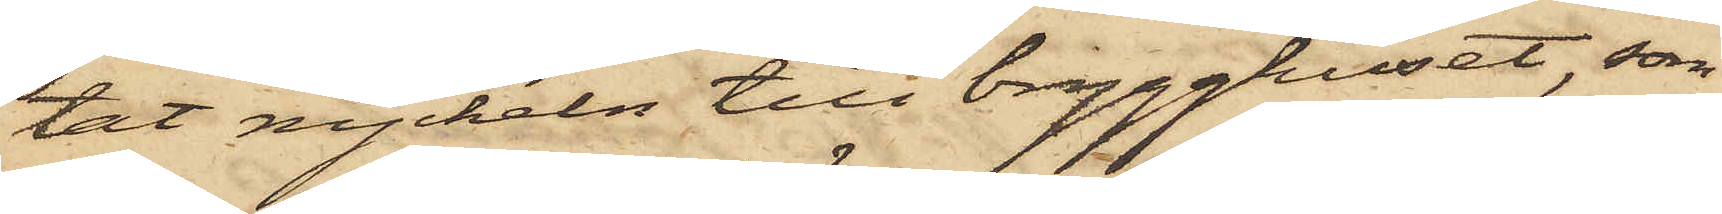tat nyckeln till brygghuset, som
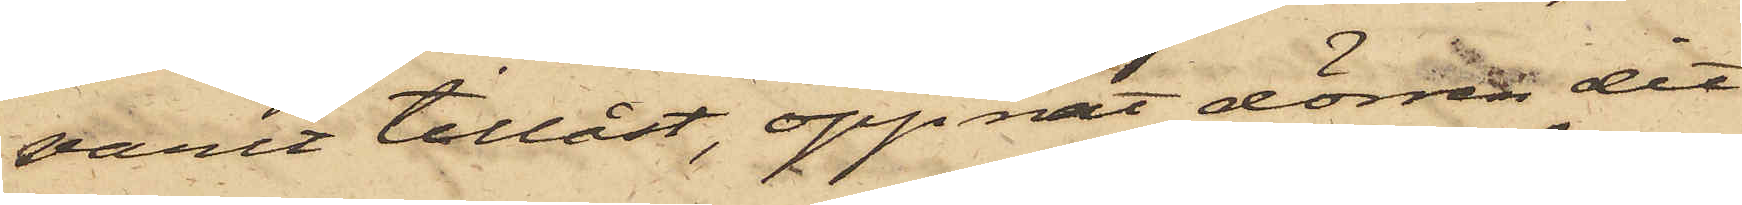varit tillåst, öppnat dörren dit
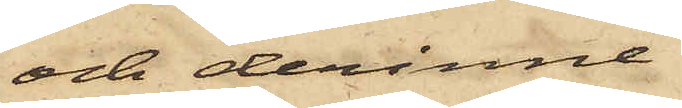och derinne
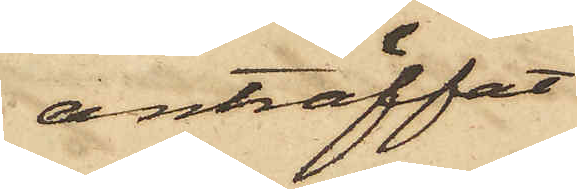anträffat
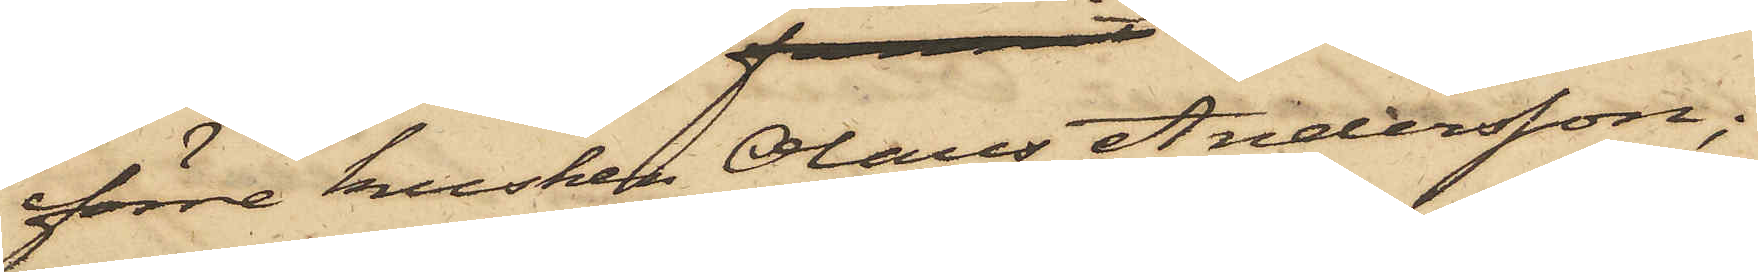förre kusken Olaus Andersson;
